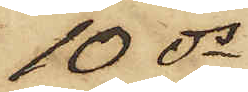10 ds
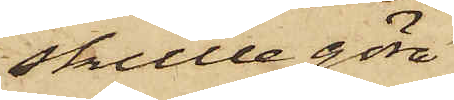skulle göra
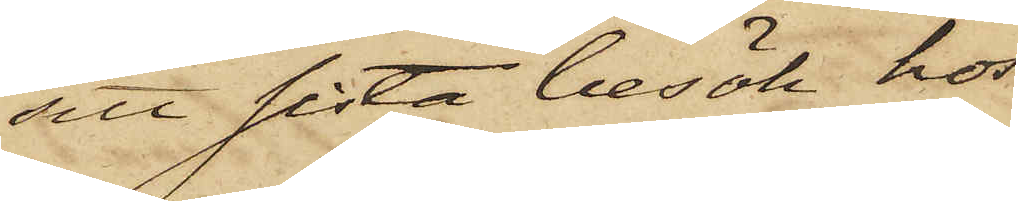sitt sista besök hos
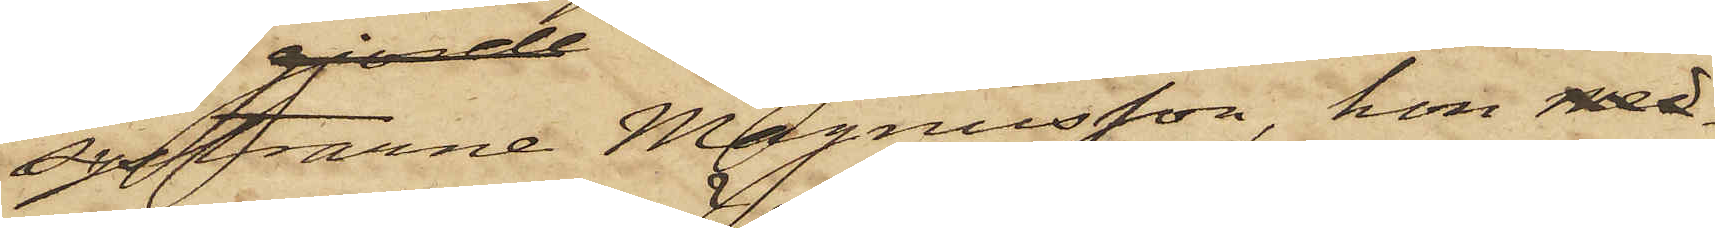systrarne Magnusson, hon med
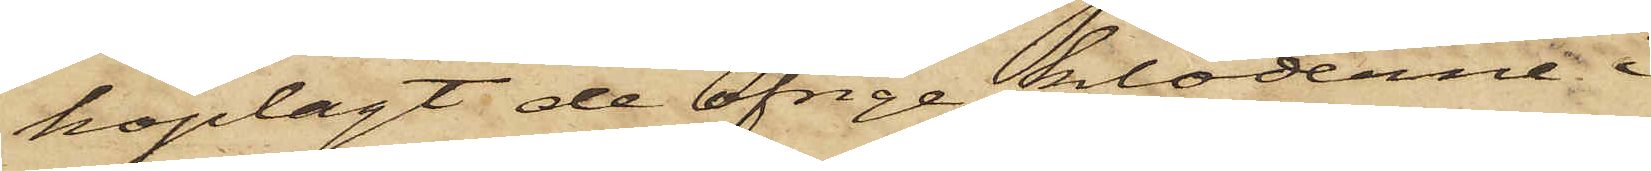hoplagt de öfrige kläderne i
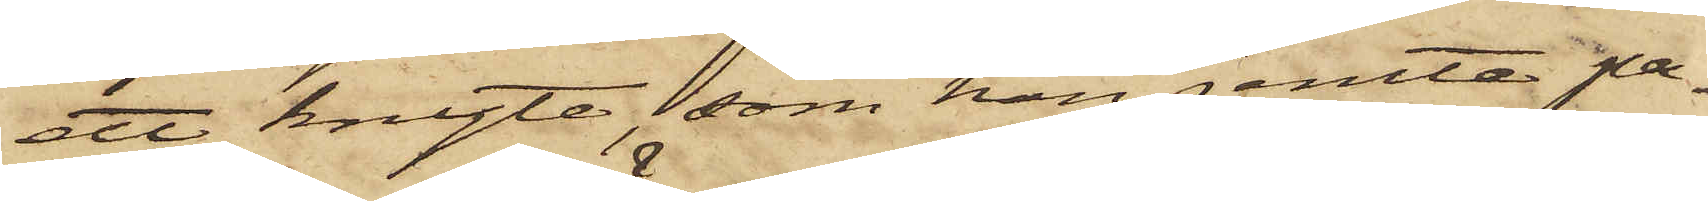ett knyte, som hon jemte pa¬
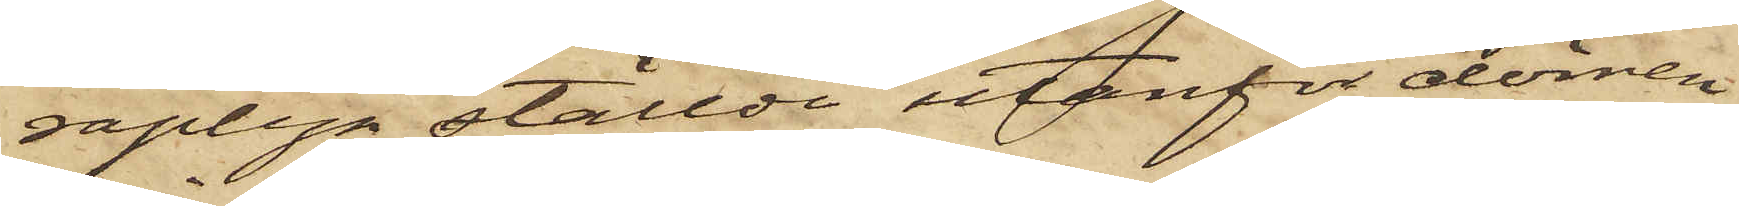raplyn ställdt utanför dörren
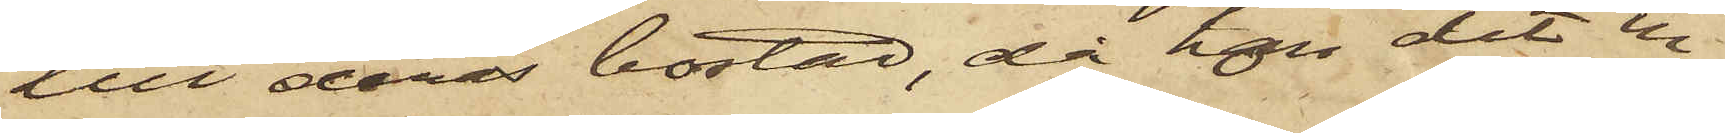till deras bostad, då hon dit in¬
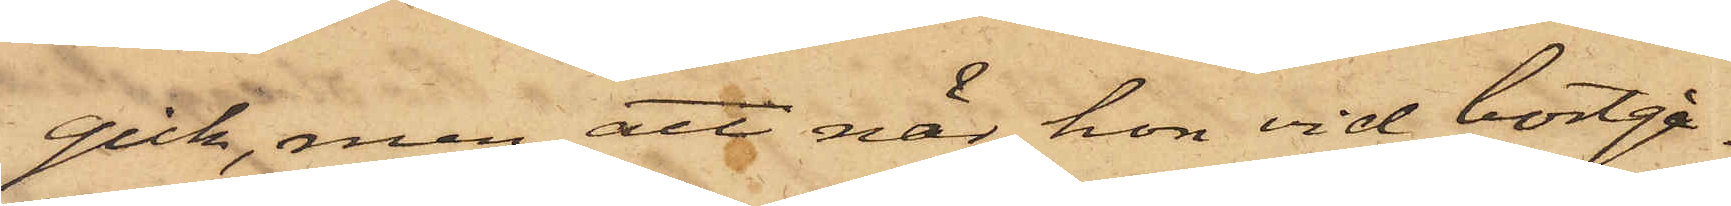gick, men att när hon vid bortgå¬
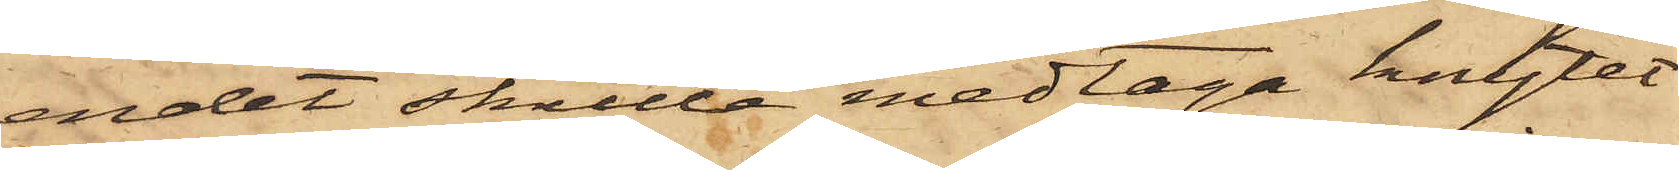endet skulle medtaga knytet
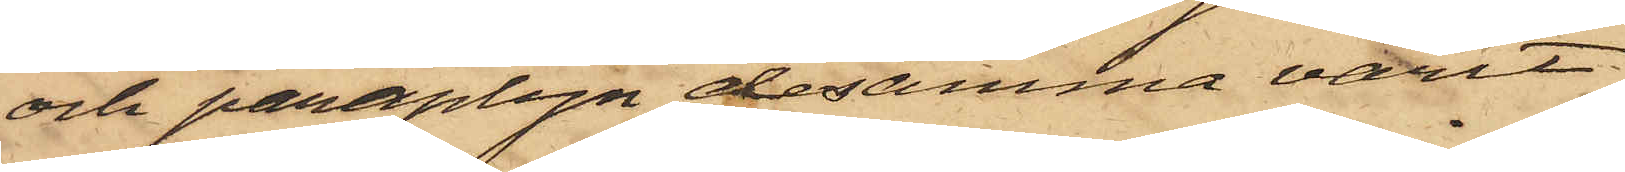och paraplyn, desamma varit
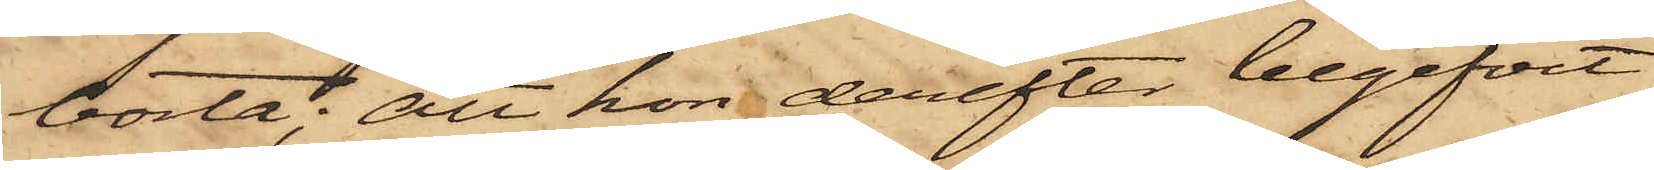borta; att hon derefter begifvit
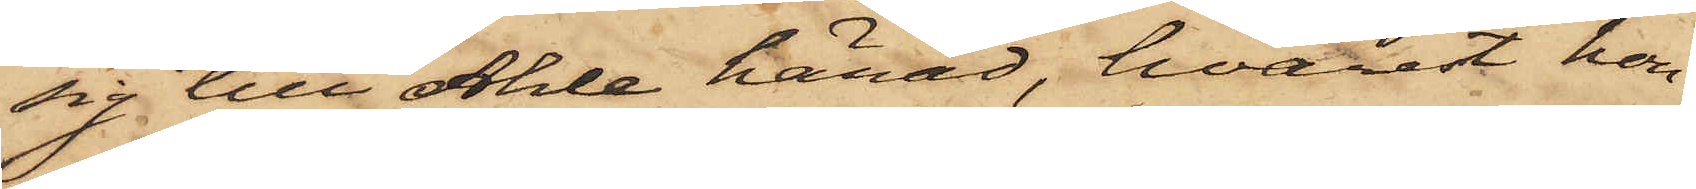sig till Ahle härad, hvarest hon
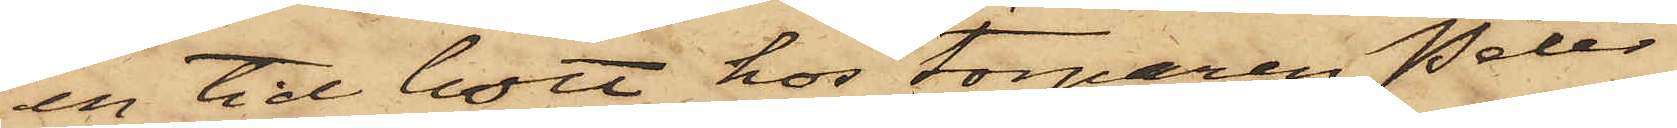en tid bott hos torparen Peter
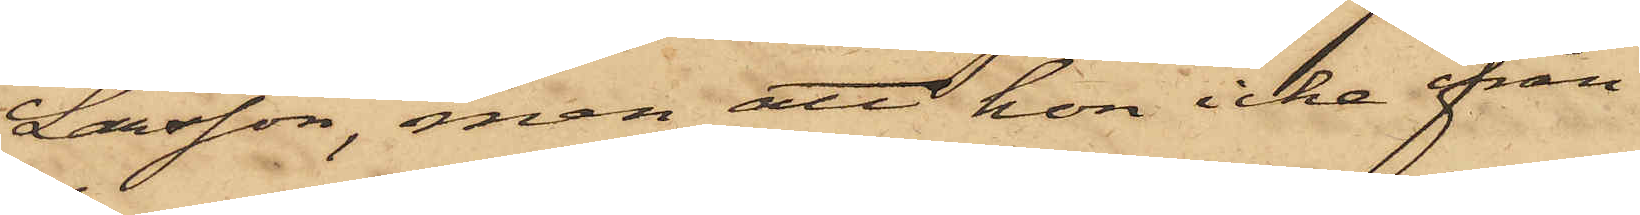Larsson, men att hon icke från
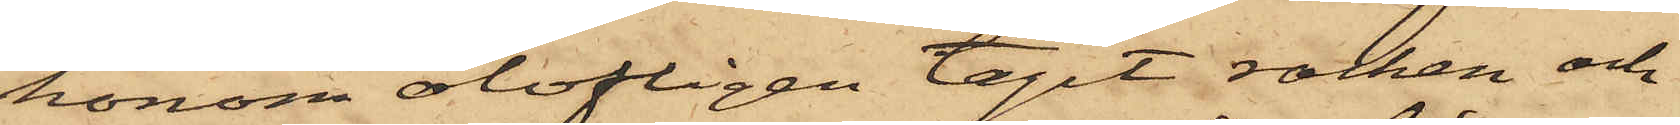honom olofligen tagit rocken och
